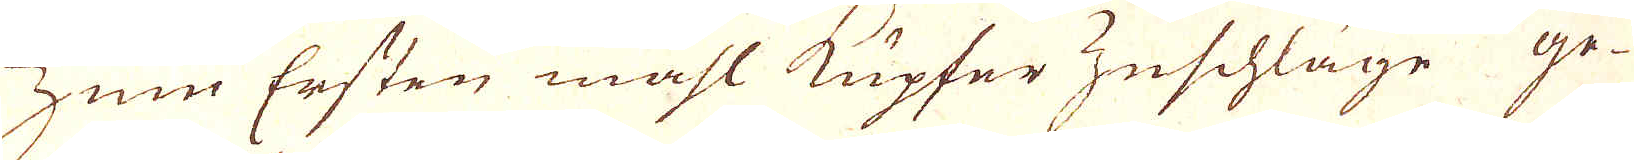Zum Ersten mahl Kupfer Zeschläge ge-
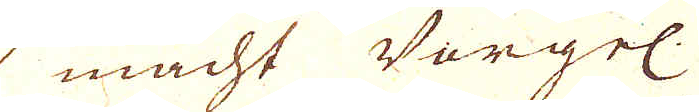macht Vorgel:
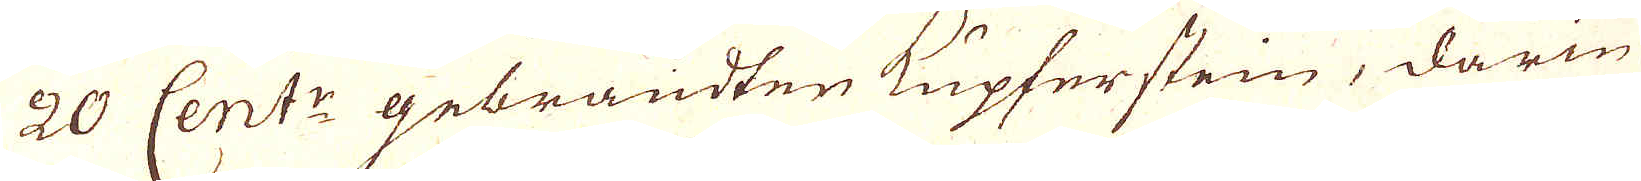20 Cent:r gebrandten Kupferstein, darin
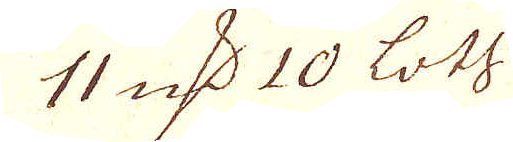11 qv:r 10 loth
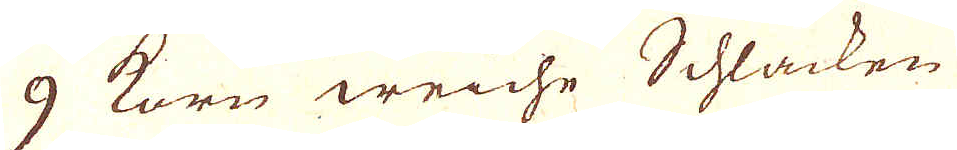9 Korn weiche Schlacken
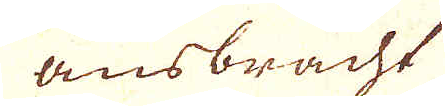ausbracht
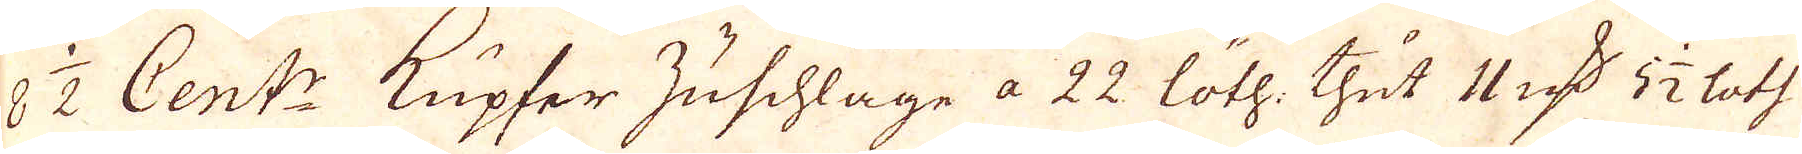8 1/2 Cent:r Kupfer Zuschläge a 22 löth: thut 11 qv:r 5 1/2 loth
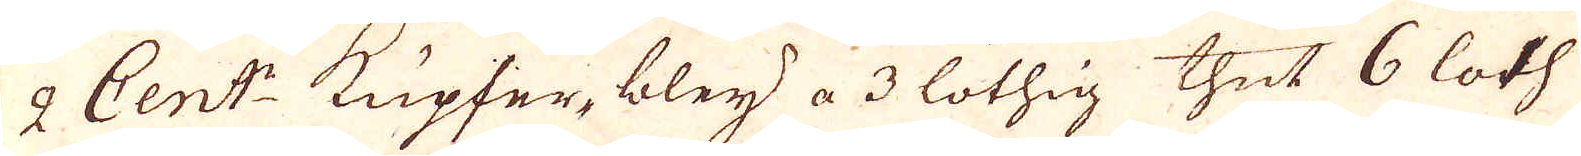2 Cent:r Kupfer, bley a 3 löthig thut 6 loth
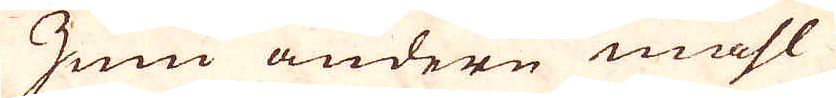Zum andere mahl
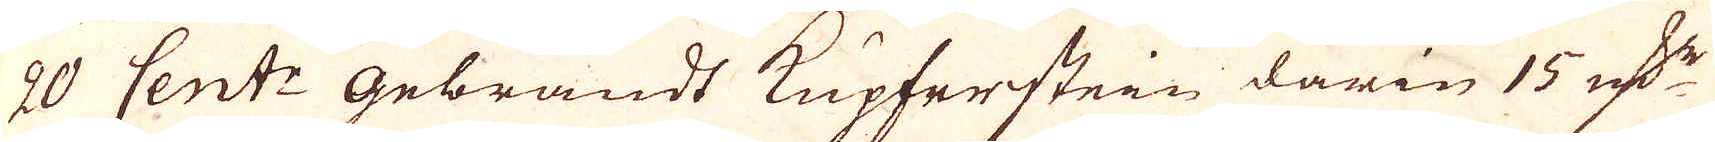20 Cent:r gebrandt Kupferstein darin 15 qv:r
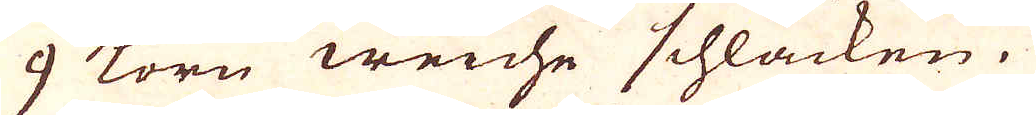9 Korn weiche schlacken.
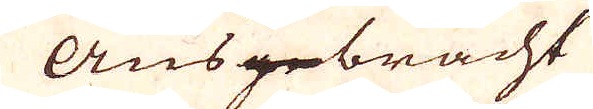Ausgebracht
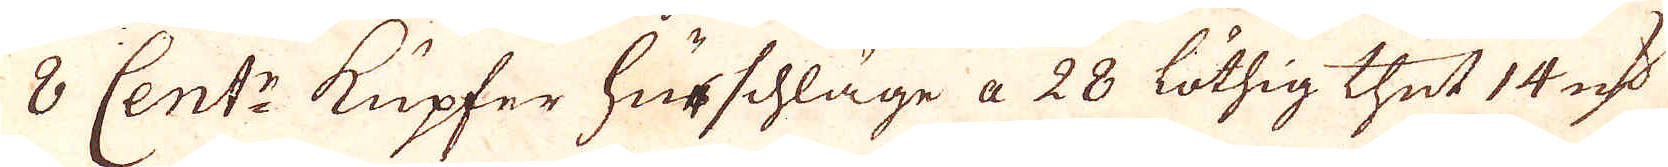8 Cent:r Kupfer hurschläge a 28 löthig thut 14 qv:r
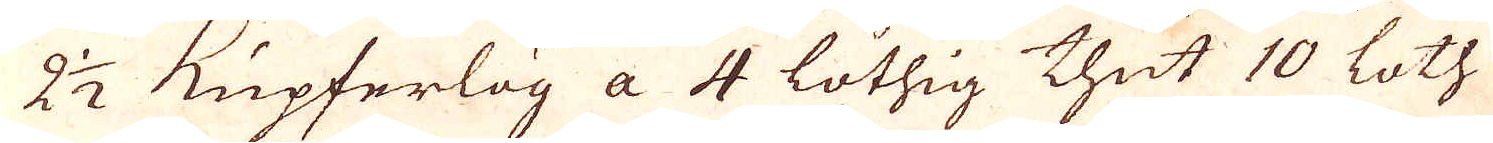2 1/2 Kupferlög a 4 löthig thut 10 loth.
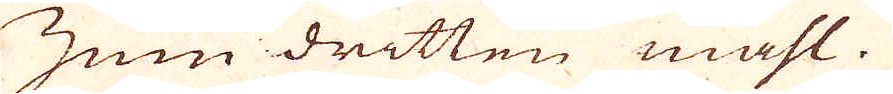Zum dritten mahl.
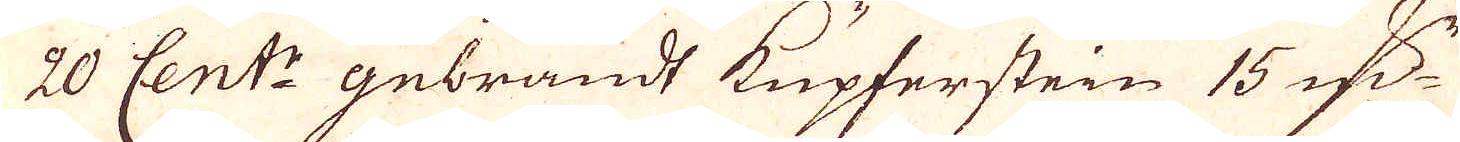20 Cent:r gebrandt Kupferstein 15 qv:r
